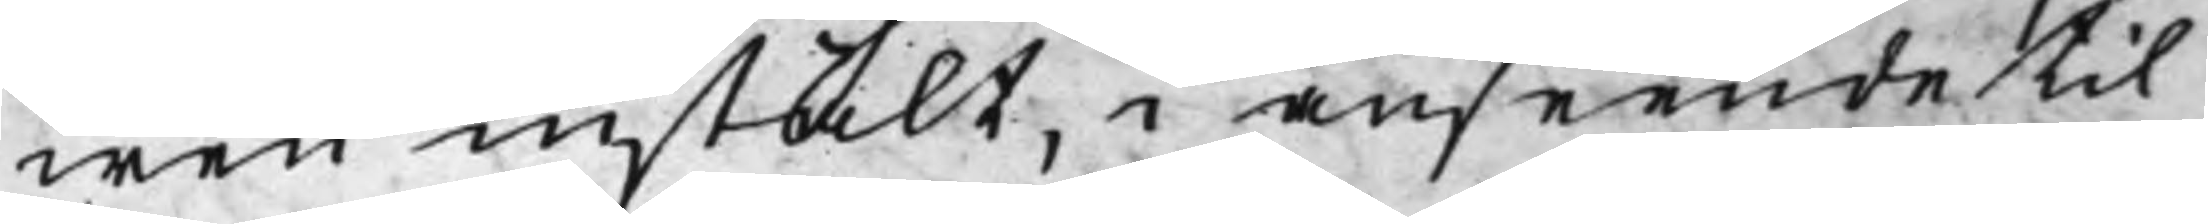wen instält, i anseende til
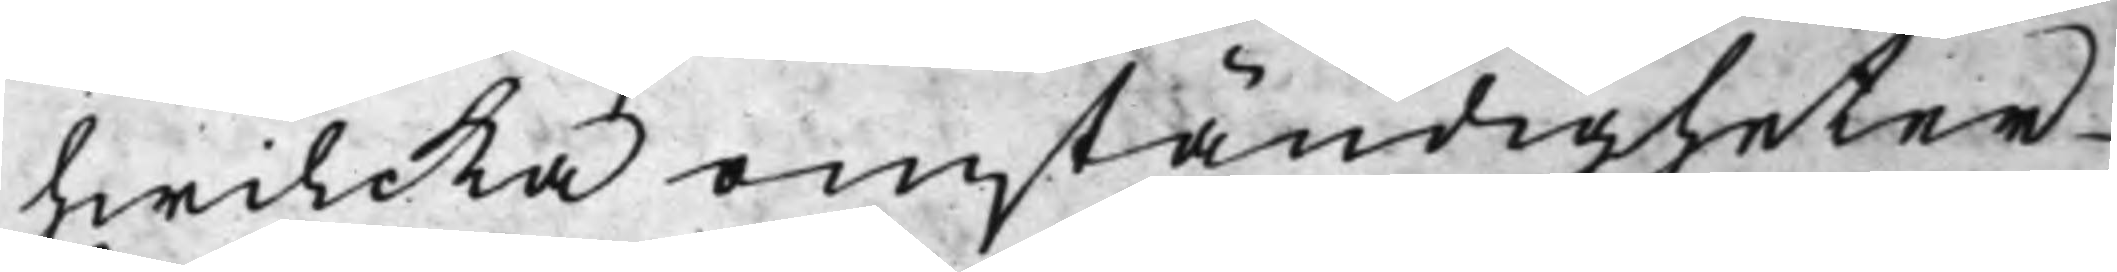hwilcka omständigheter
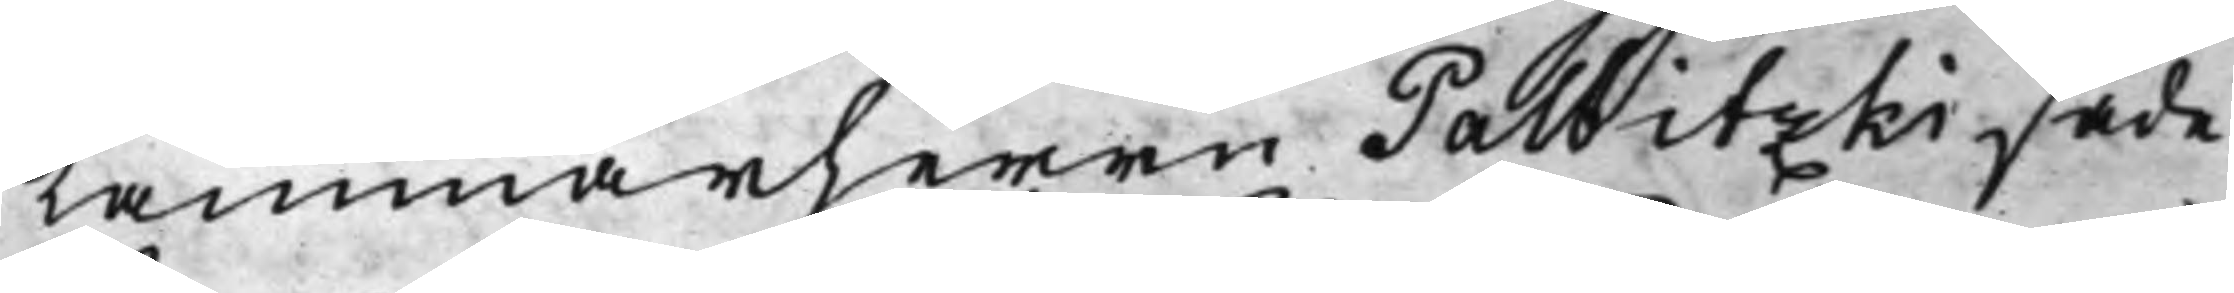Kammarherrn Palbitzki sade
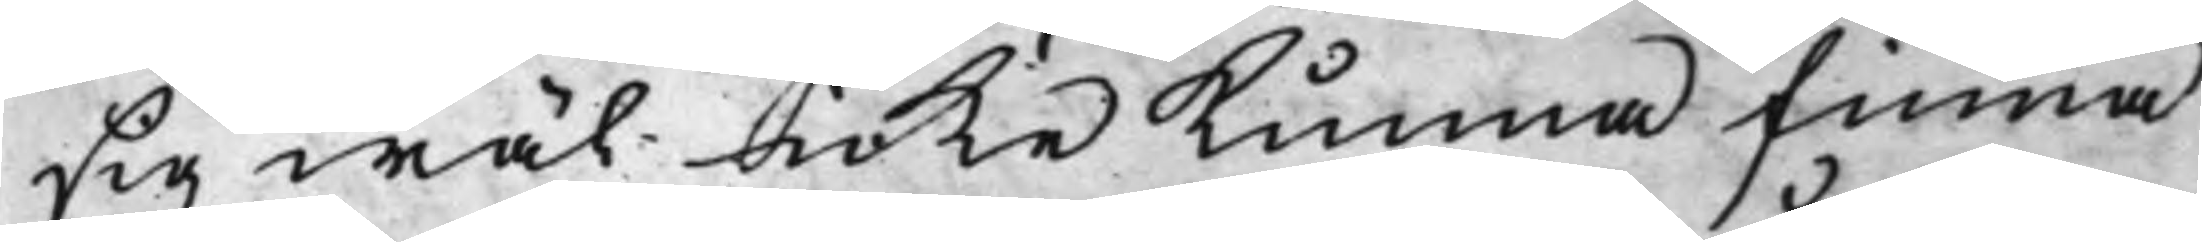sig wäl icke Kunna finna
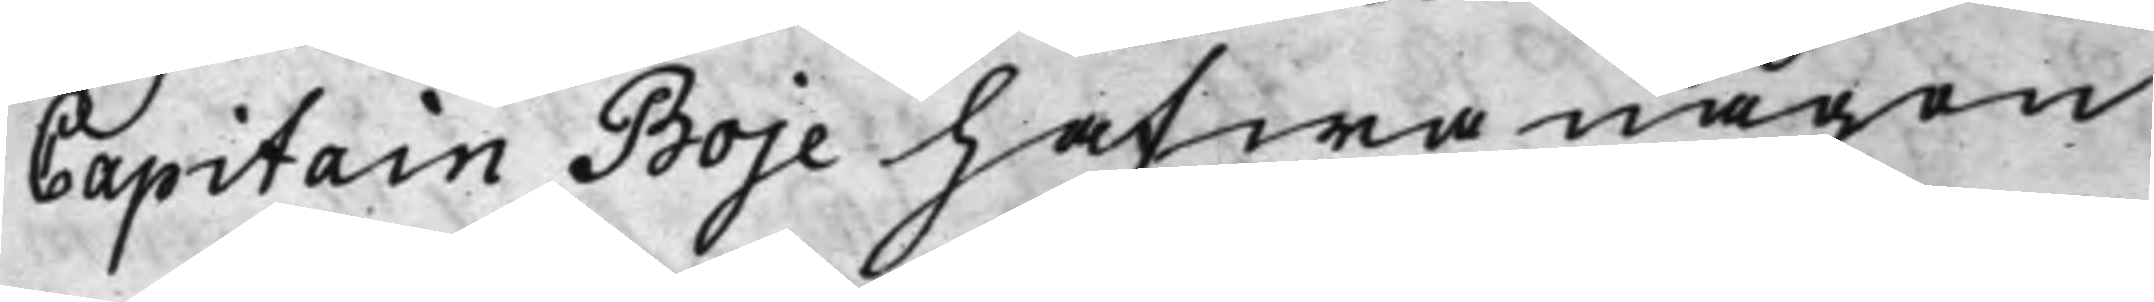Capitain Boje hafwa någon
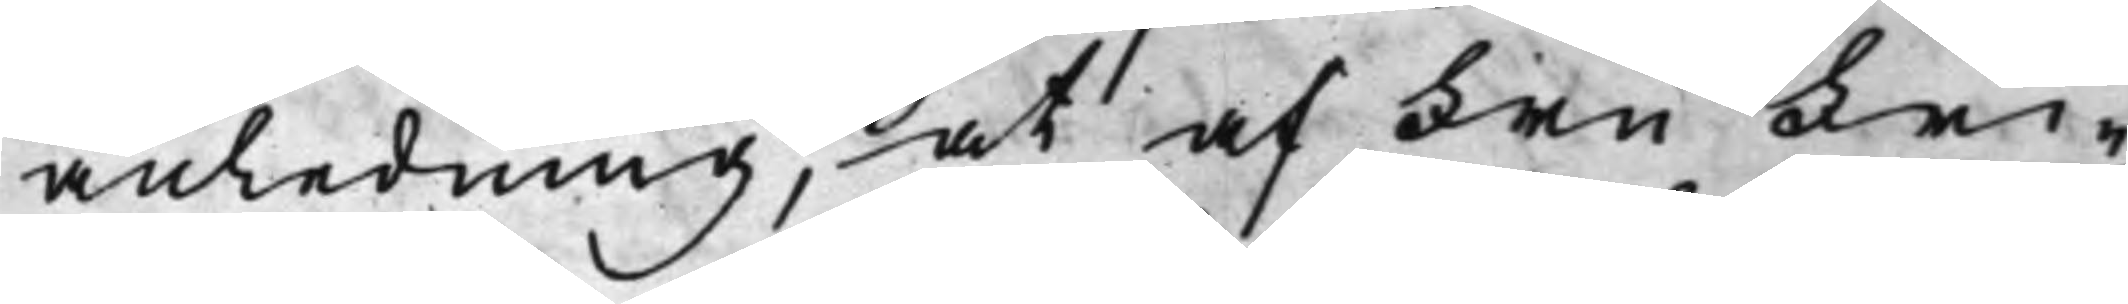anledning, at af Fru Fri¬
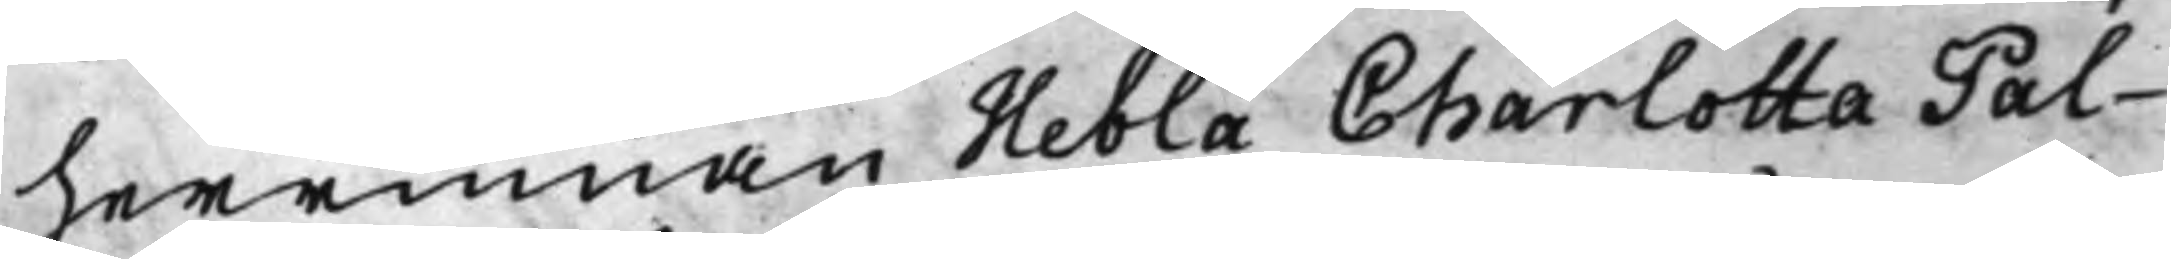herrinnan Hebla Charlotta Pal¬
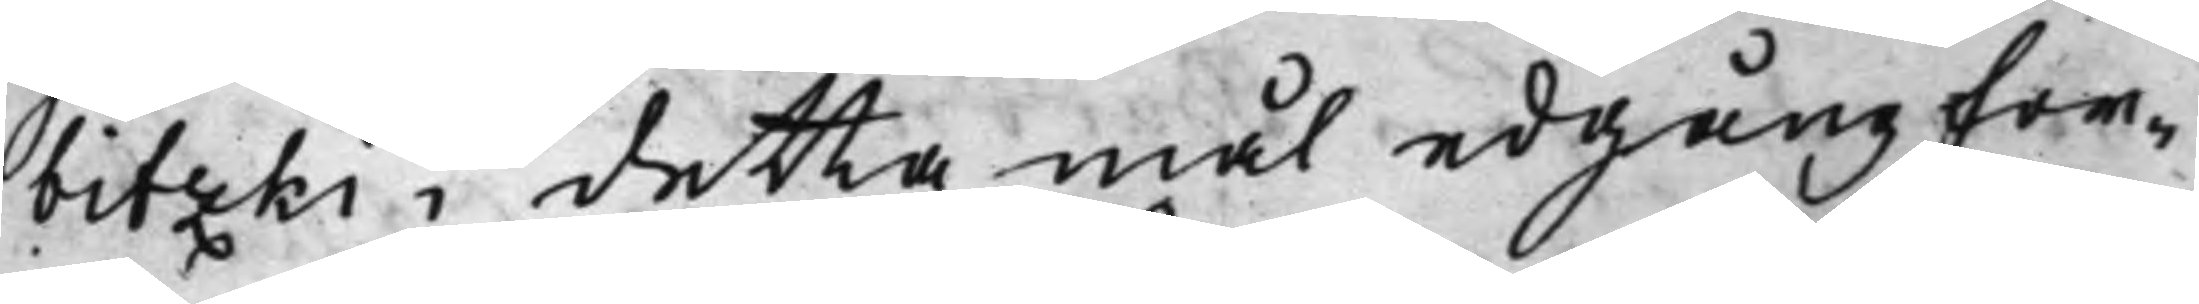bitzki i detta mål edgång for¬
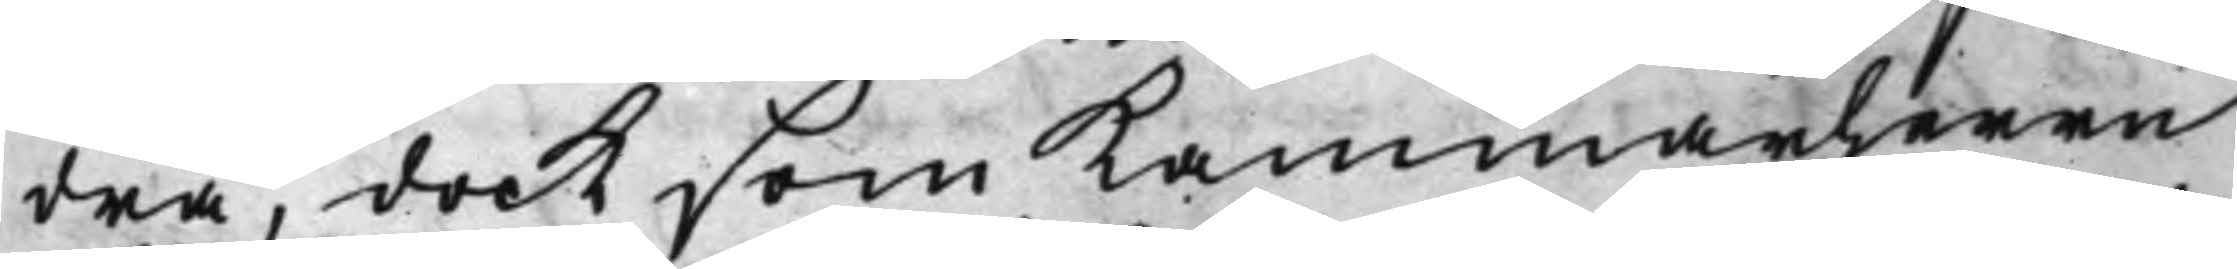dra, dock som Kammarherrn
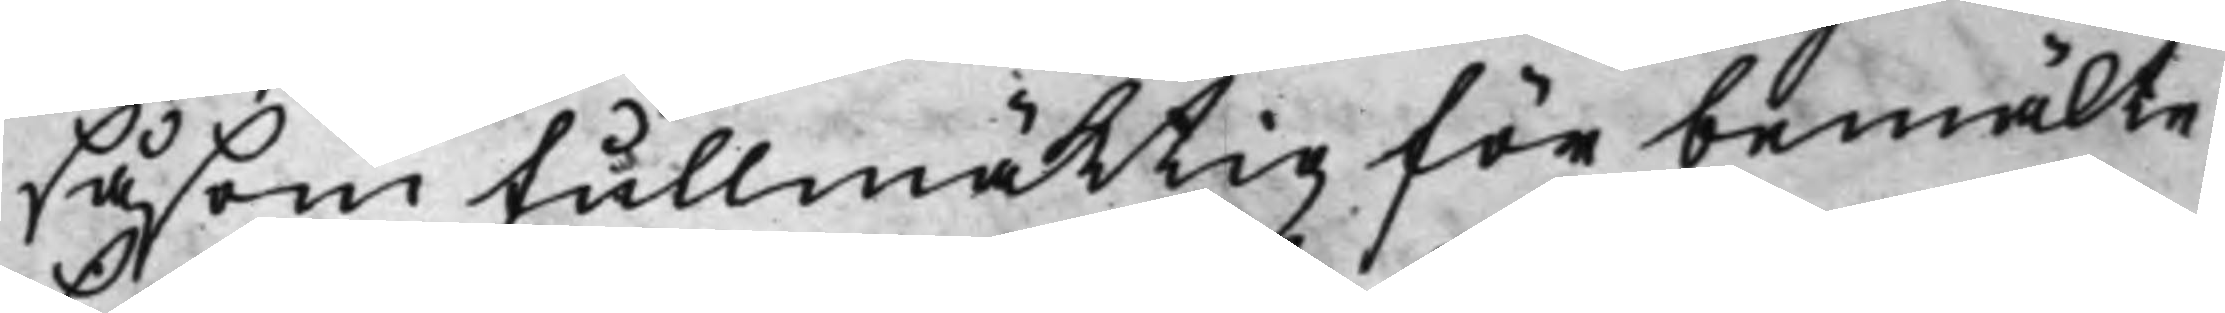såsom fullmäktig för bemälte
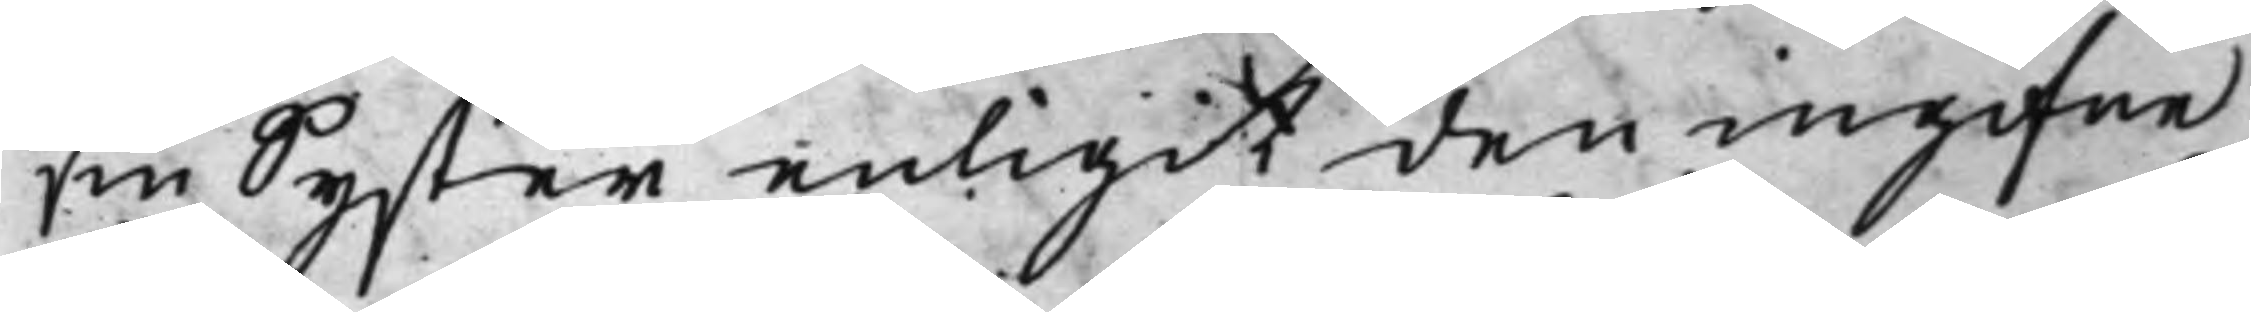sin Syster enligit den ingifne
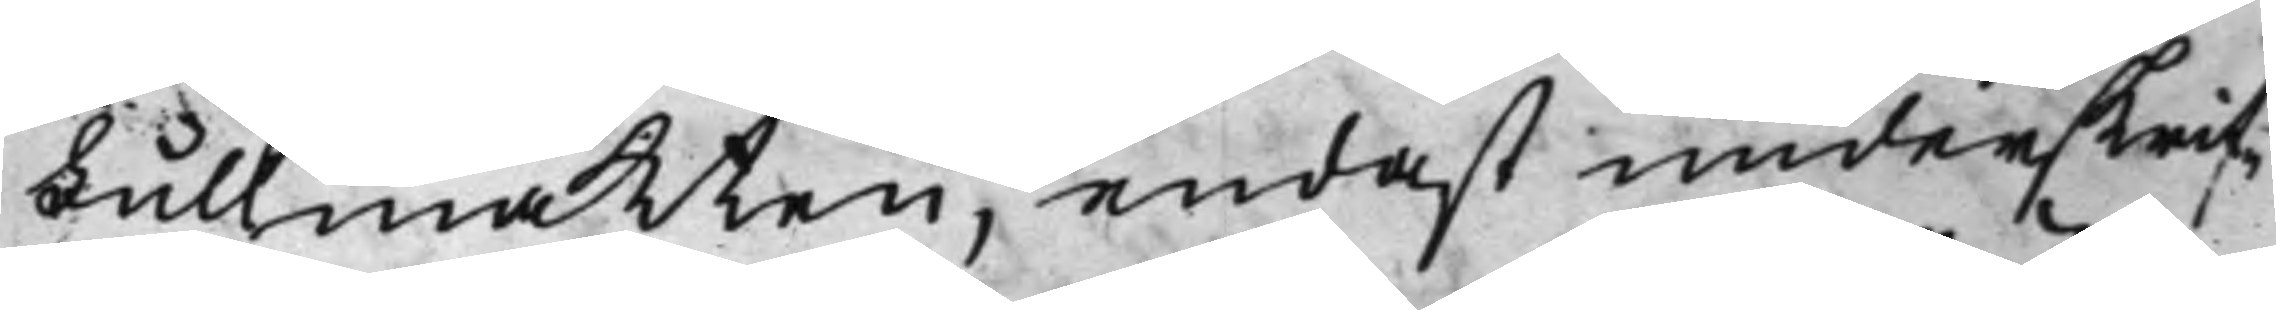Fullmakten, endast underskrif¬
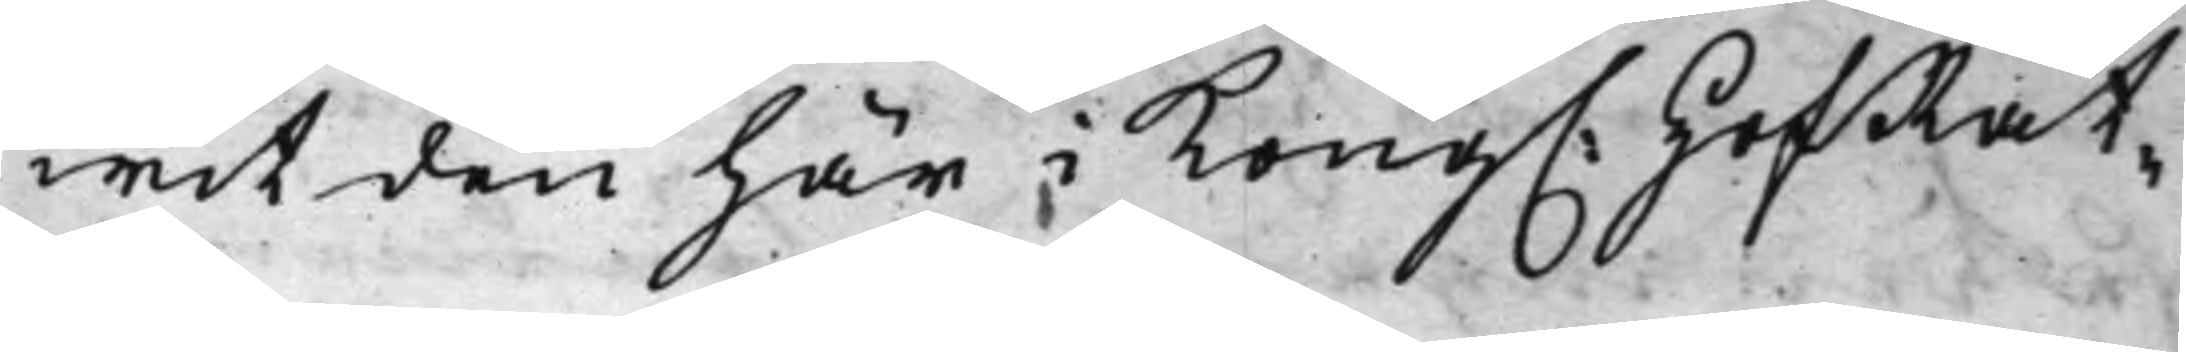wit den här i Kong. HofRät¬
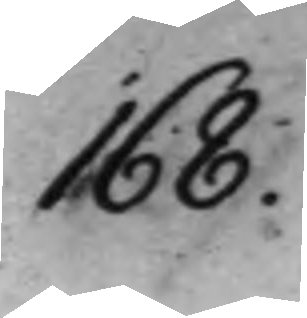168.
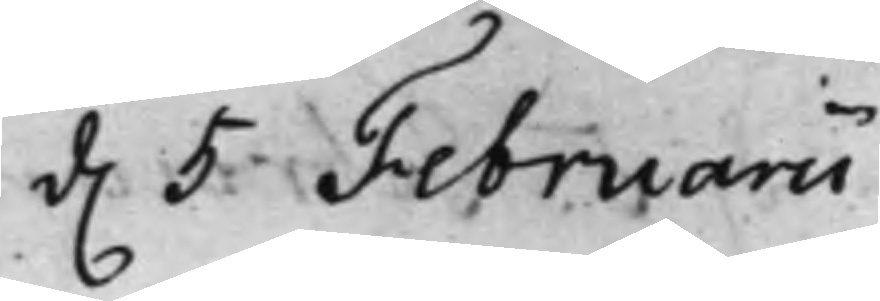d. 5 Februarii
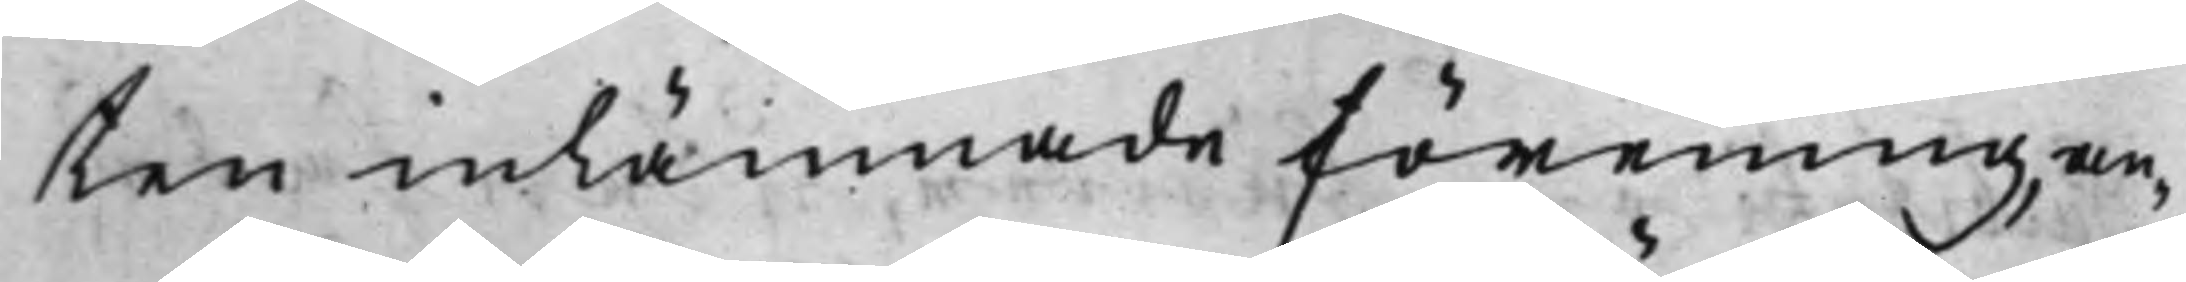ten inlämnade förening, an¬
